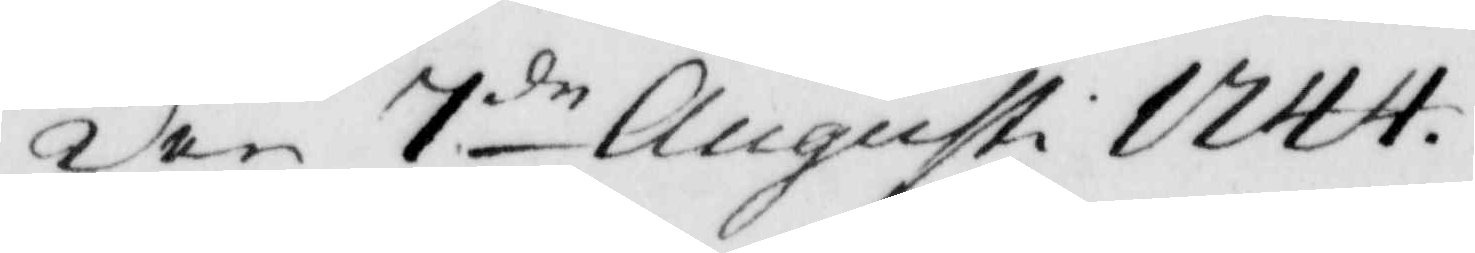Den 7:de Augusti 1744.
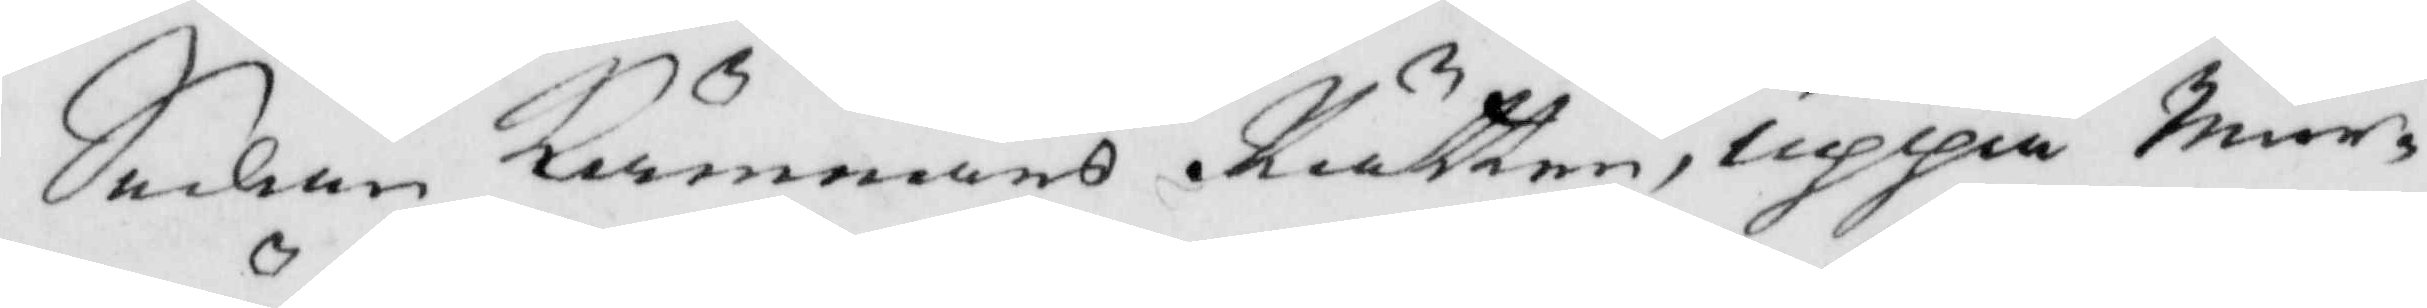Sedan Kämnars Rätten, upppå Mur¬
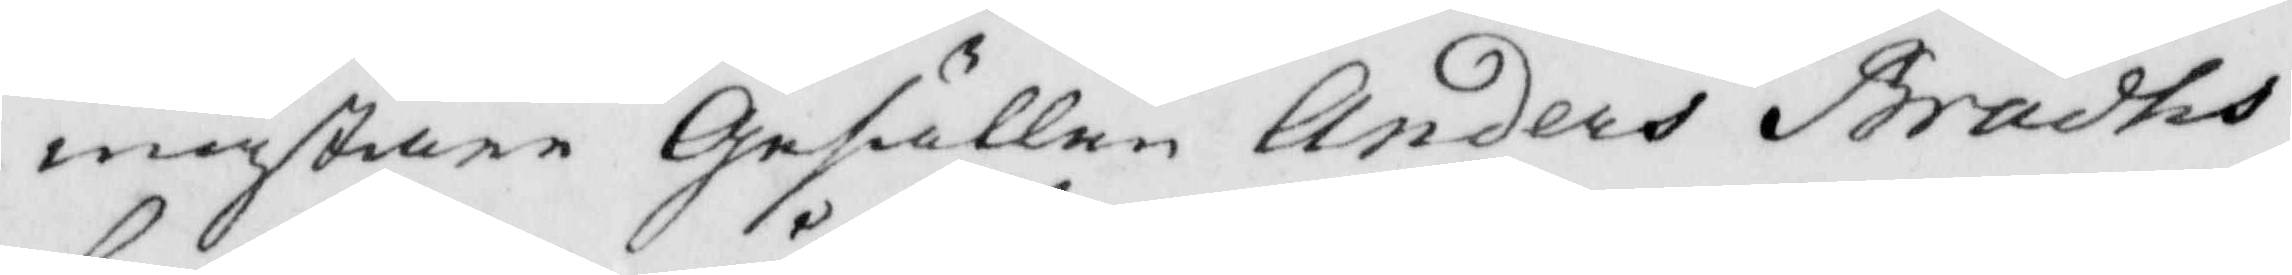mästare Gesällen Anders Brådhs
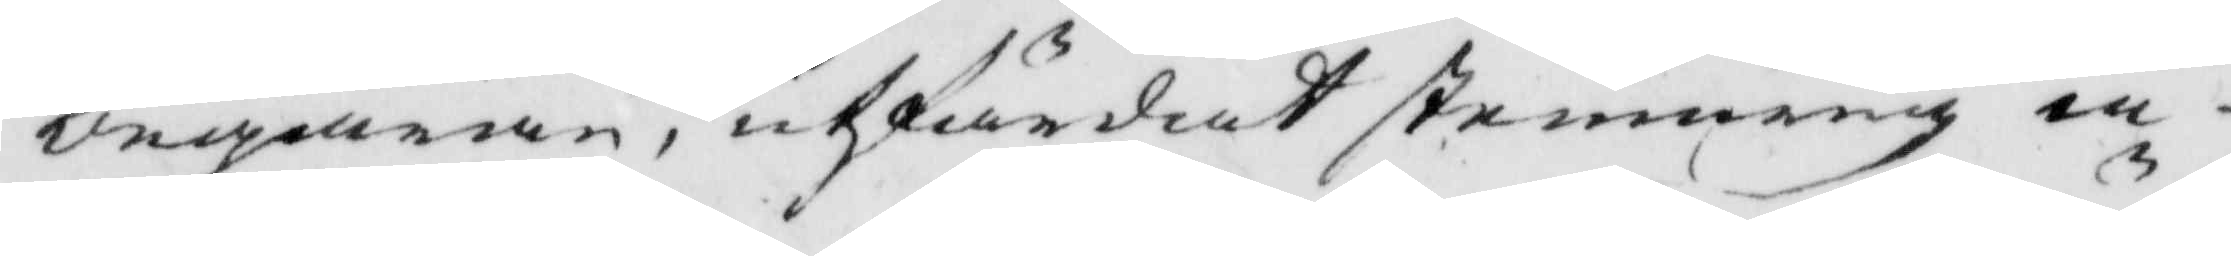begäran, utfärdat stemning iu
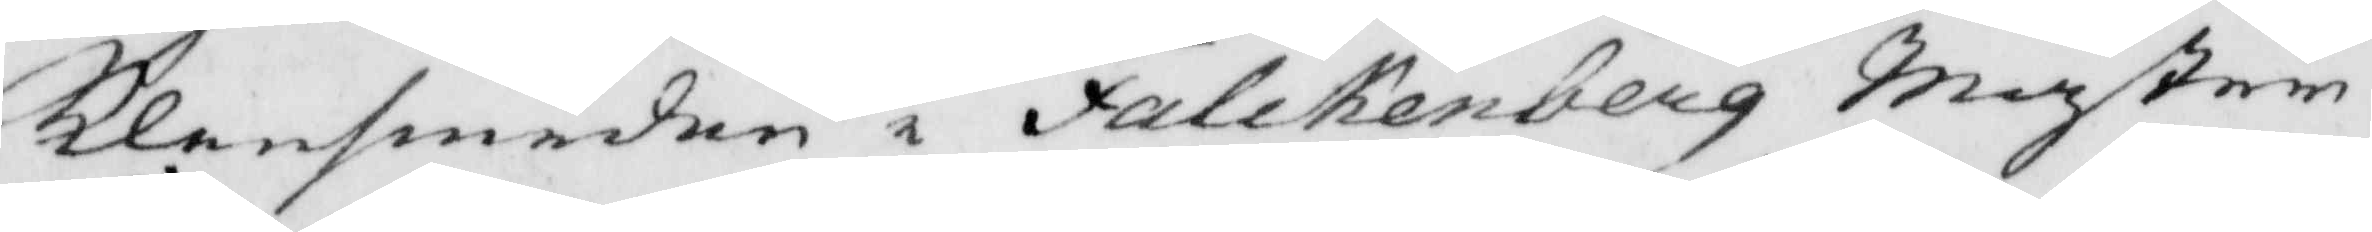Klensmeden i Falckenberg Mäster
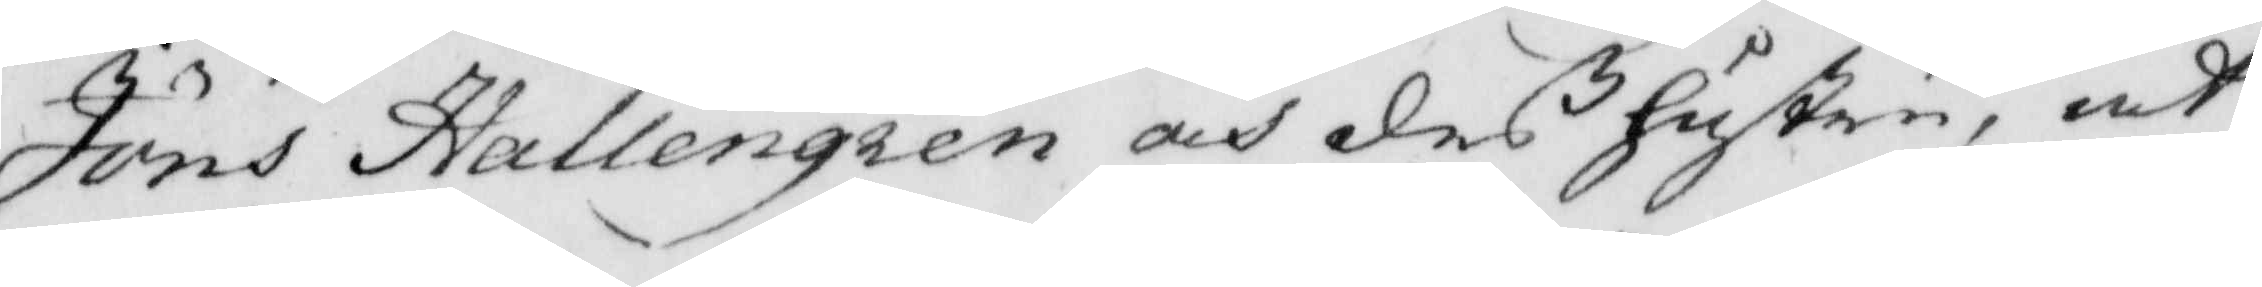Jöns Hallengren och deß hustru, at
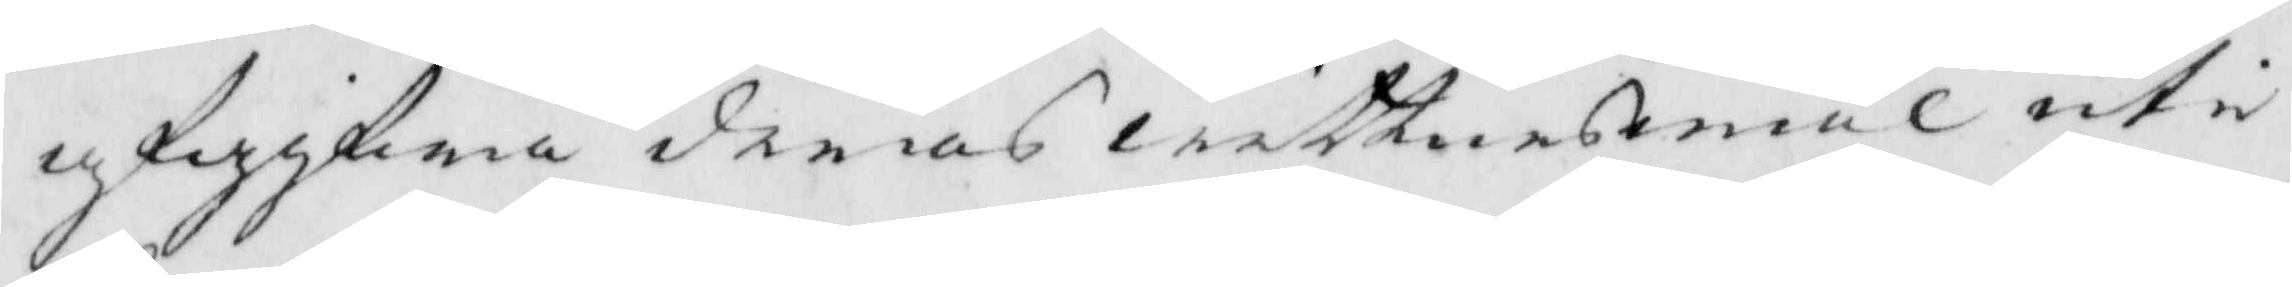afgifwa deras wittnesmål uti
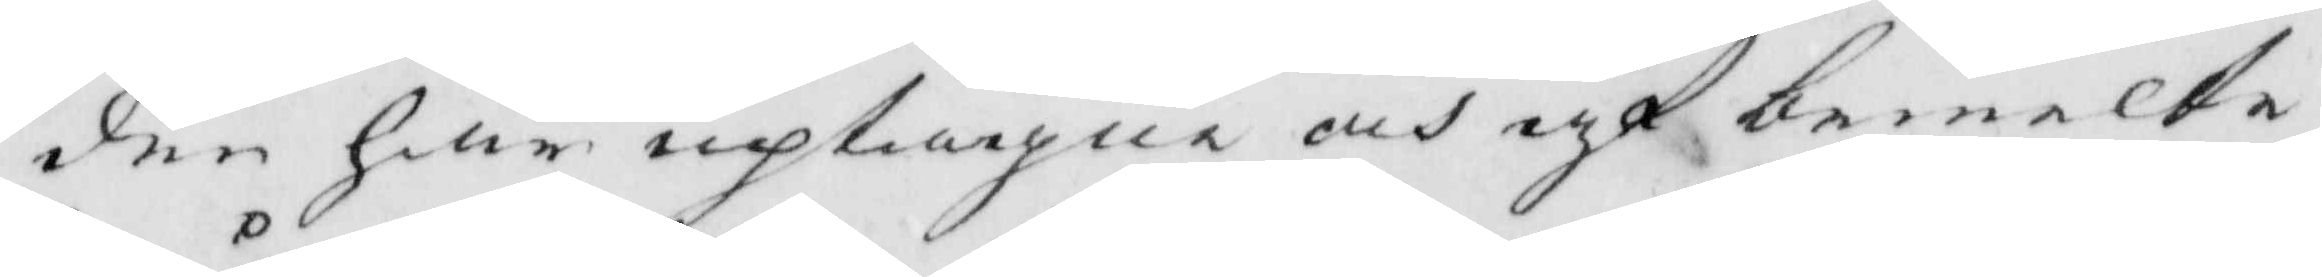den här uptagne och af bemelte
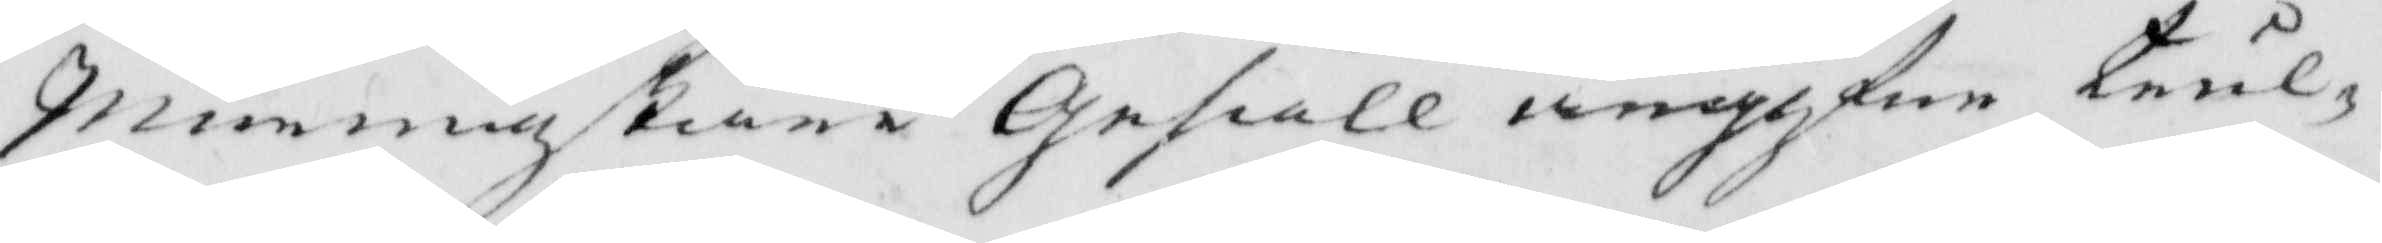Murmästare Gesäll angifne trul¬
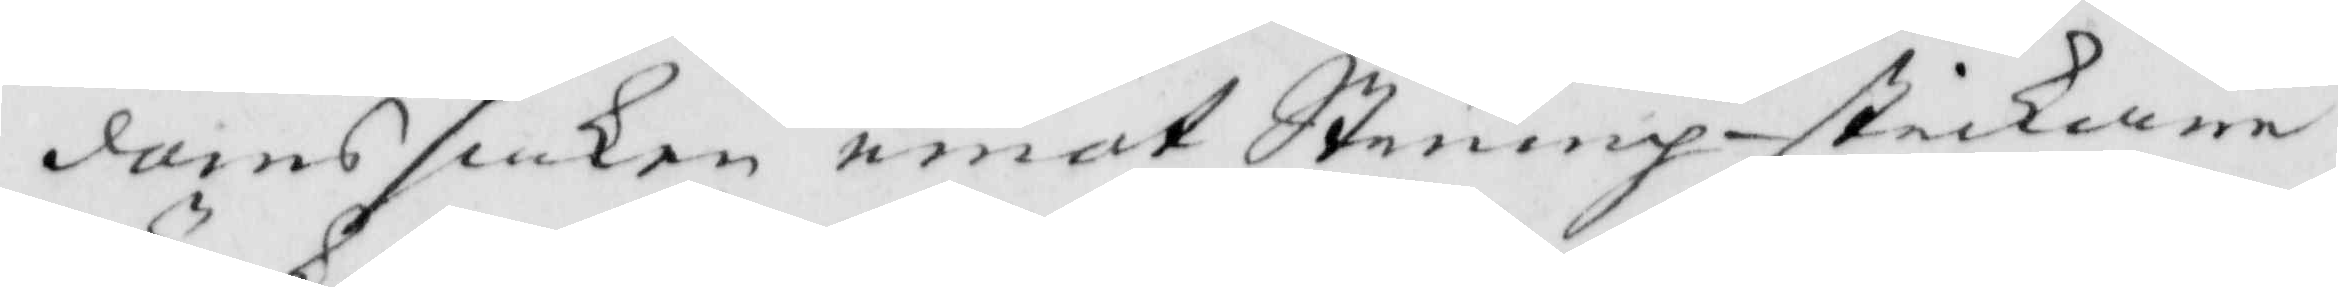doms saken emot Strumpstickare
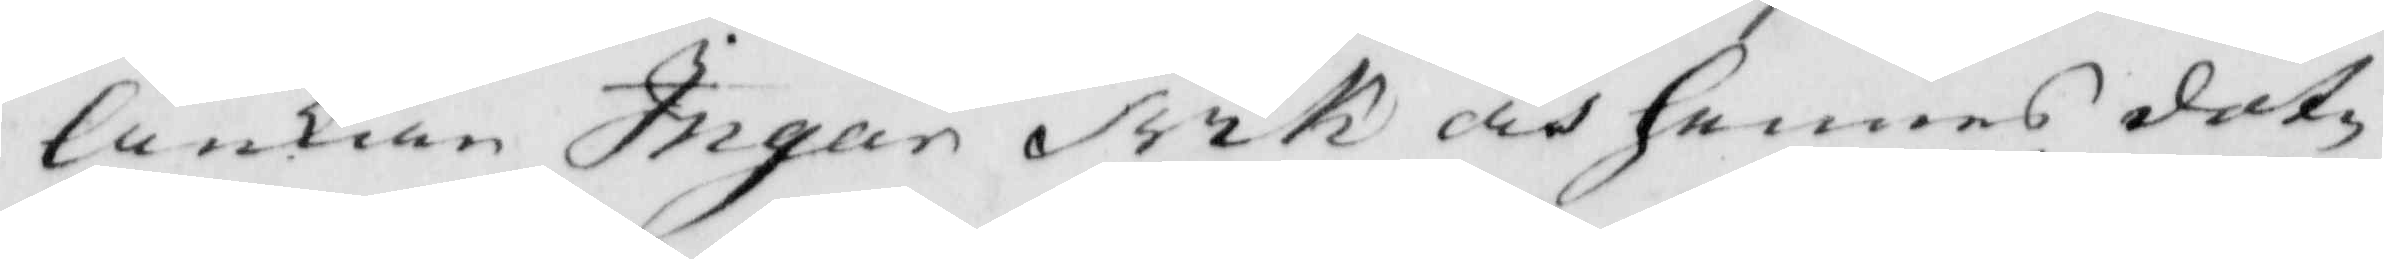Änkan Ingar Trik och hennes dot¬
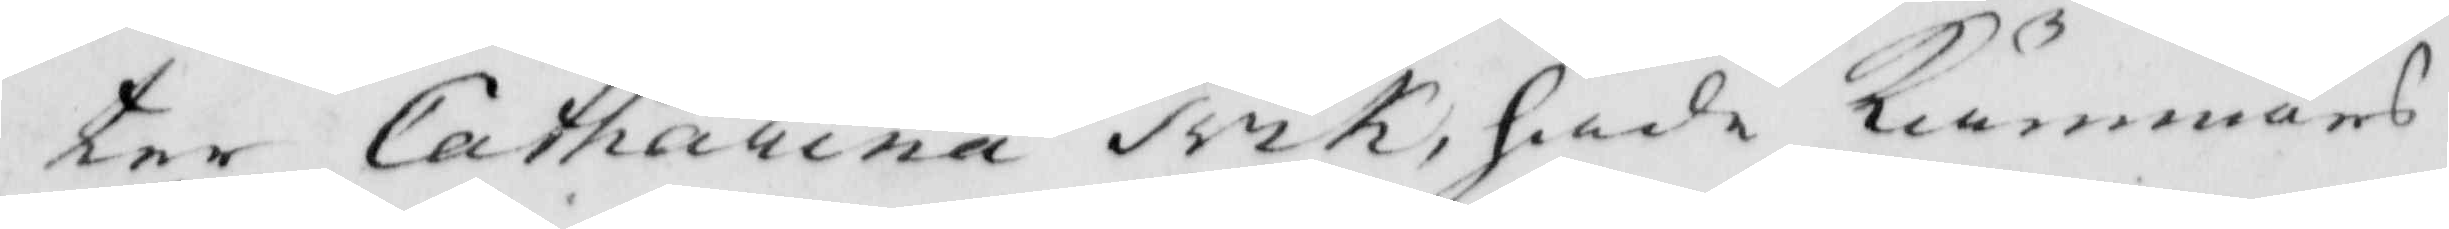ter Catharina Trik, hade Kämnärs
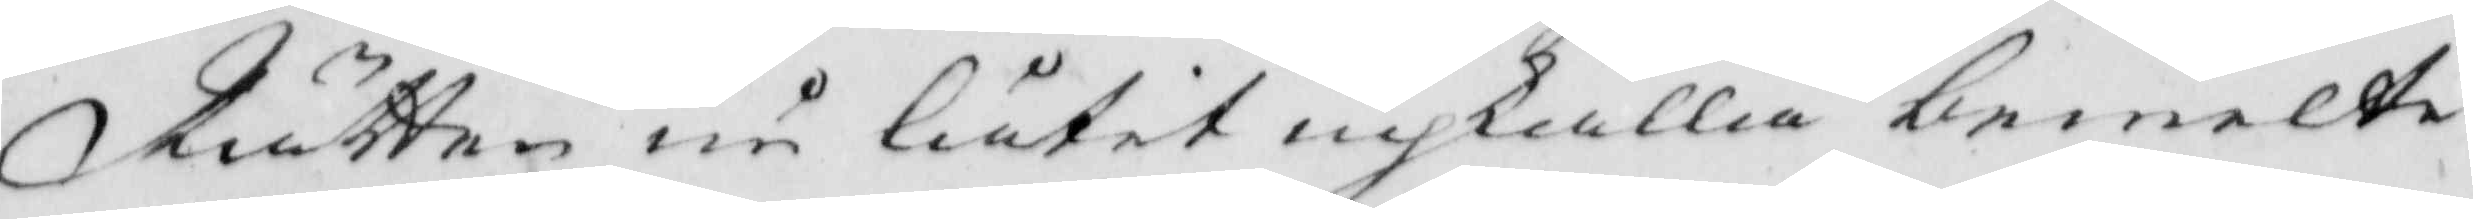Rätten nu låtit inskalla bemelte
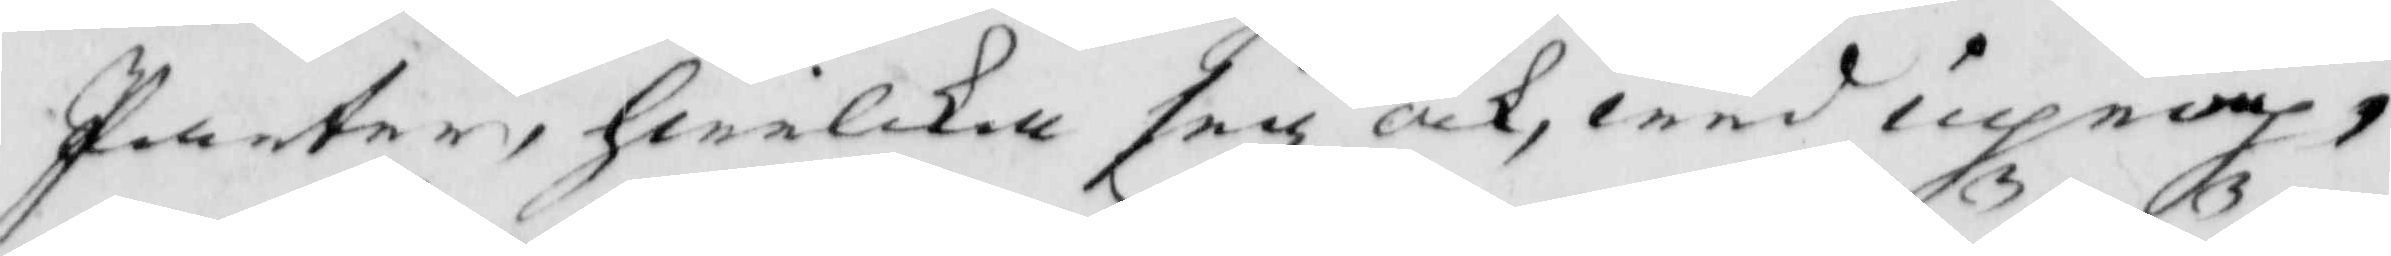Parter, hwilka sig och, wid uprop
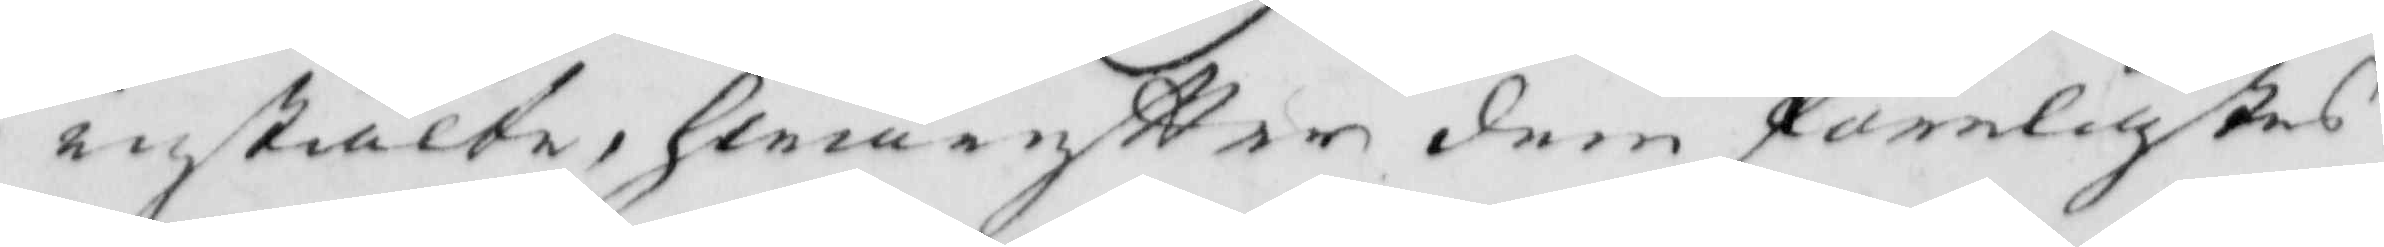instälte, hwareftter dem förelästes
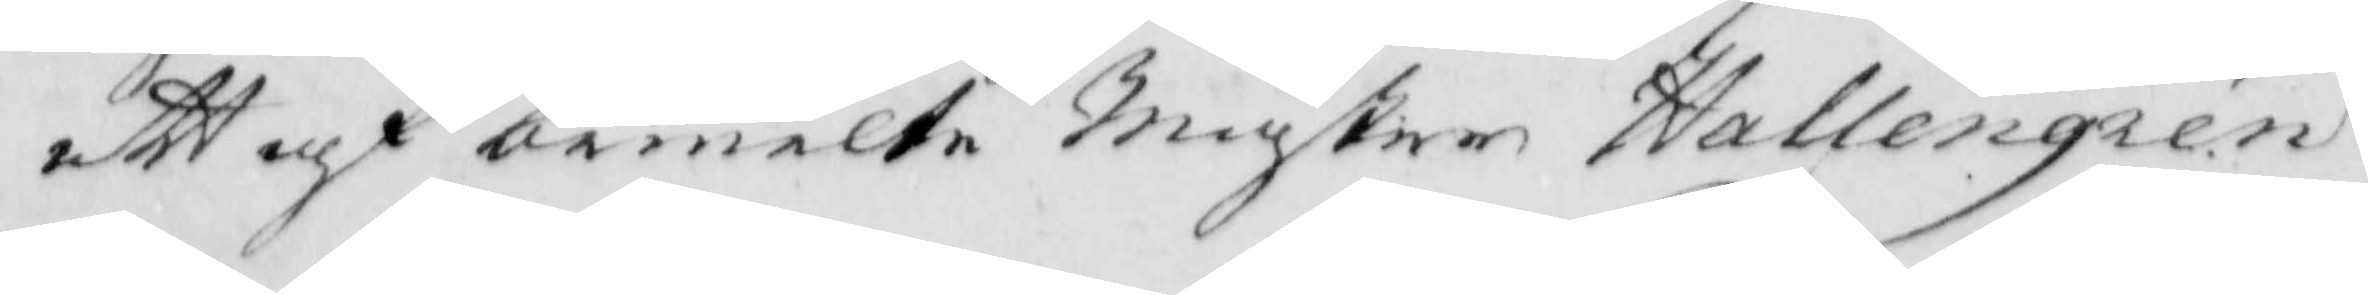att af bemelte Mäster Hallengren
